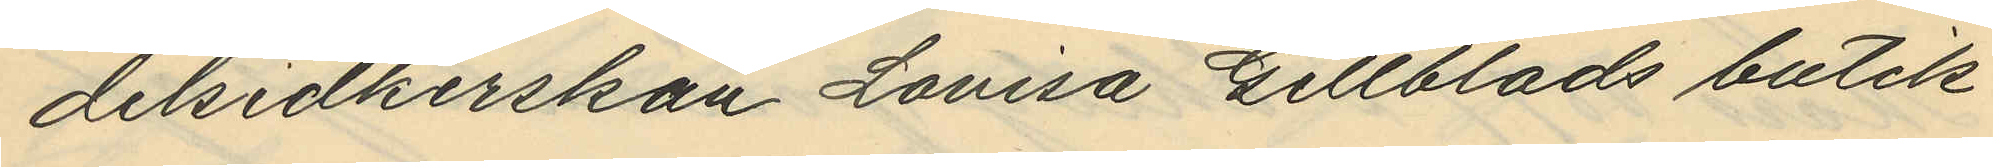delsidkerskan Lovisa Gillblads butik
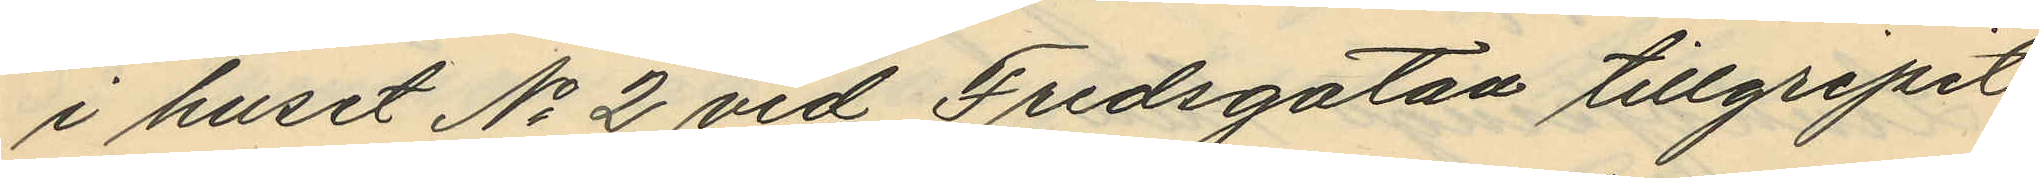i huset No 2 vid Fredsgatan tillgripit
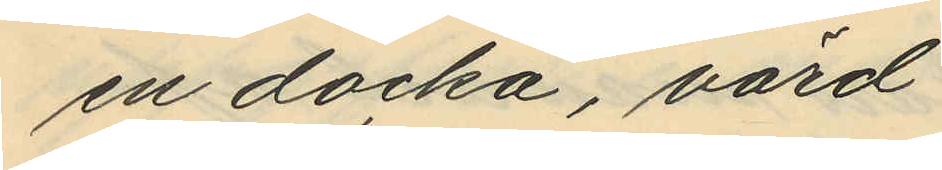en docka, värd
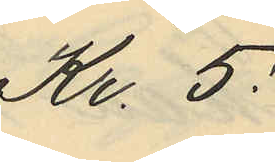Kr. 5:
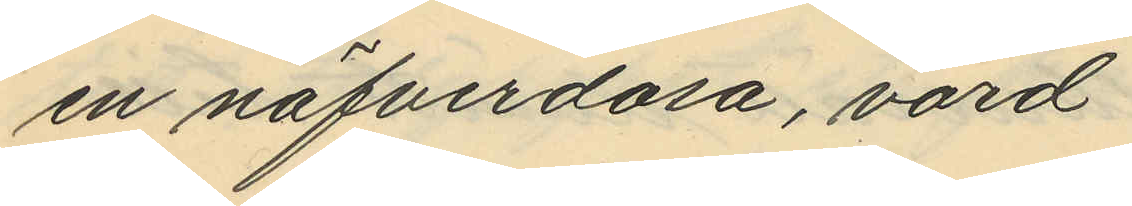en näfverdosa, värd
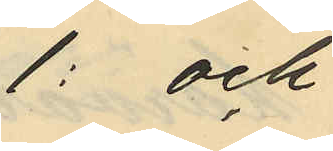1: och
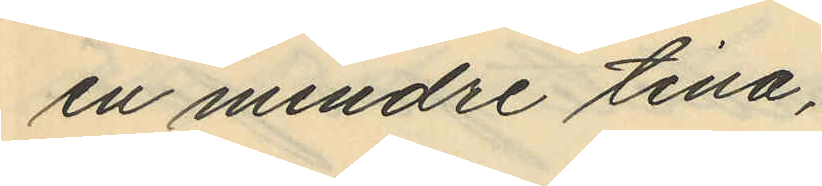en mindre tina,
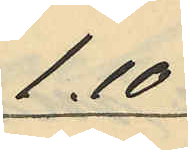1.10
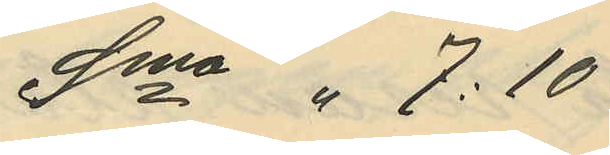Sma " 7:10
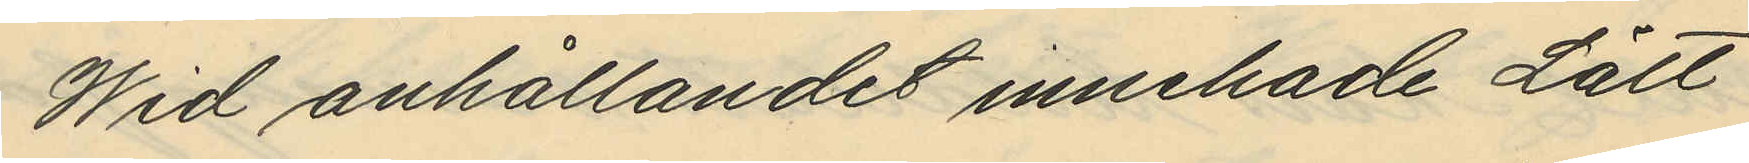Wid anhållandet innehade Lätt
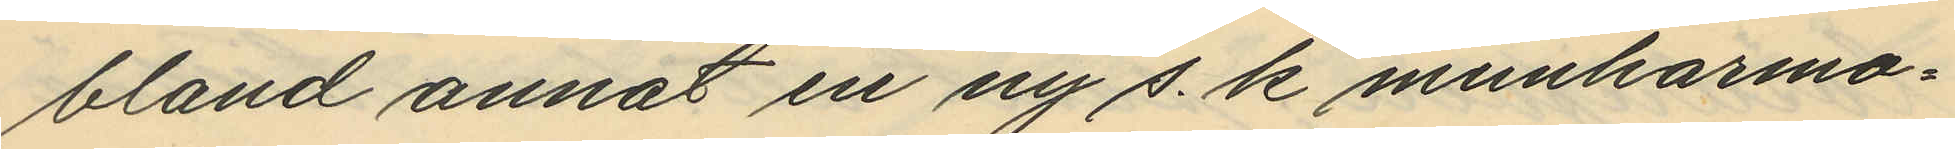bland annat en ny s. k munharmo¬
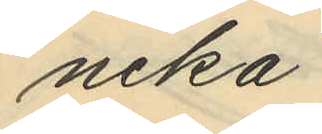nika.
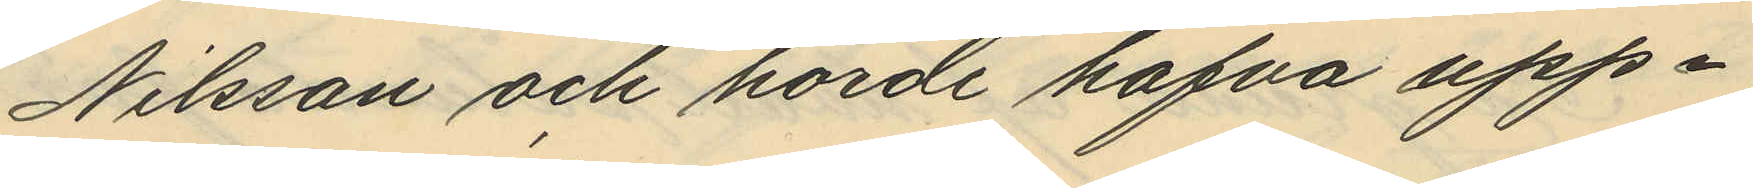Nilsson och hörde hafva upp¬
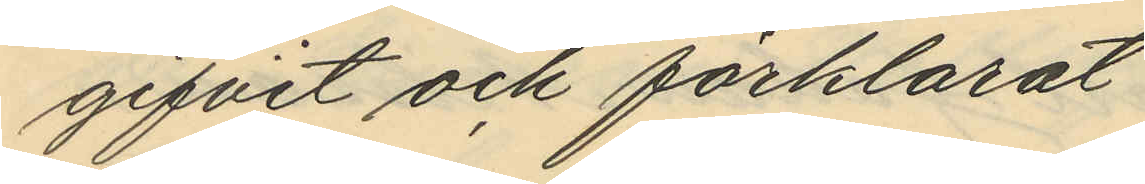gifvit och förklarat
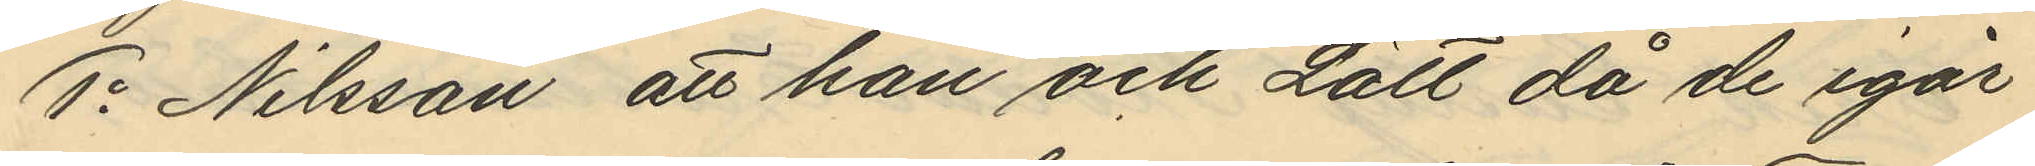1o Nilsson att han och Lätt då de igår
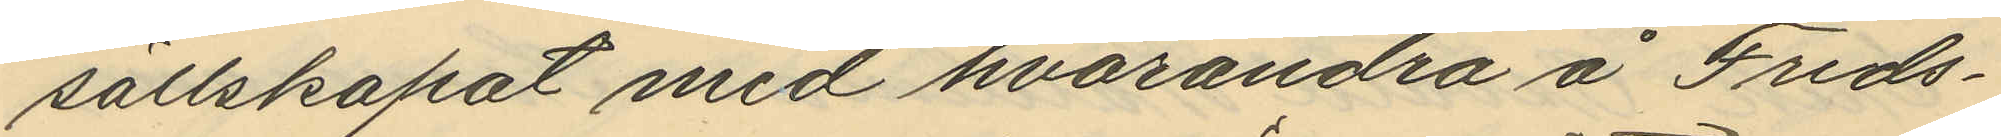sällskapat med hvarandra å Freds¬
